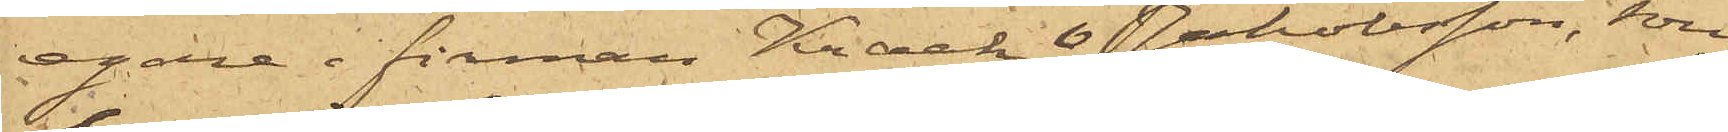egare i firman Kraak & Jakobsson, som
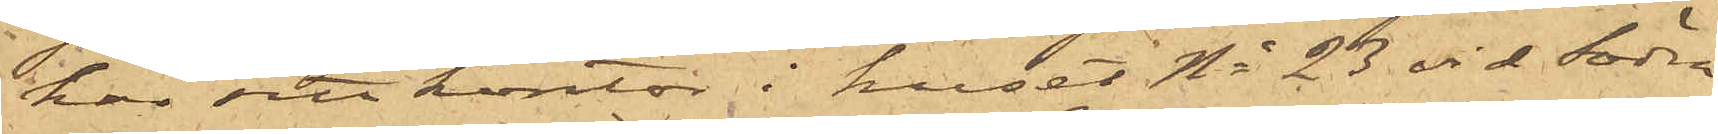har sitt kontor i huset No 23 vid Södra
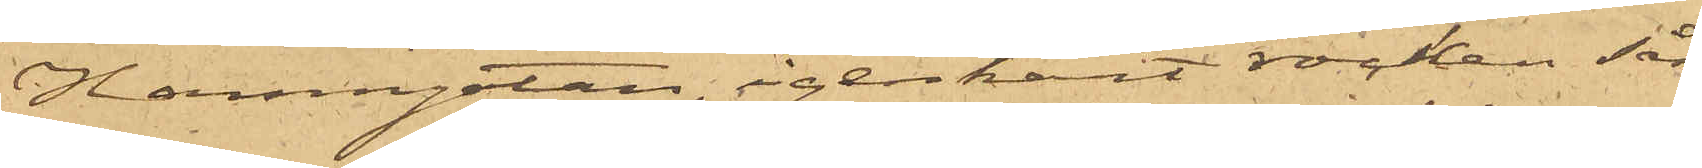Hamngatan,, igenkänt rocken såsom
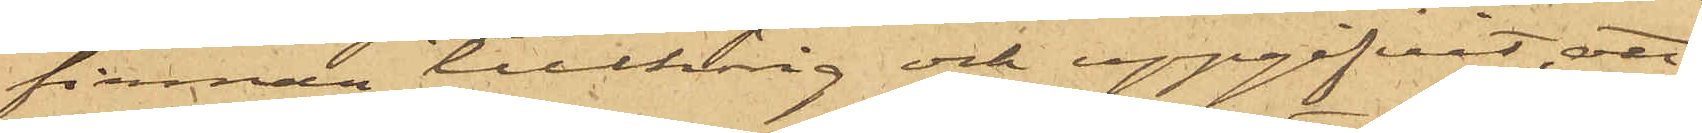firman tillhörig och uppgifvit, att
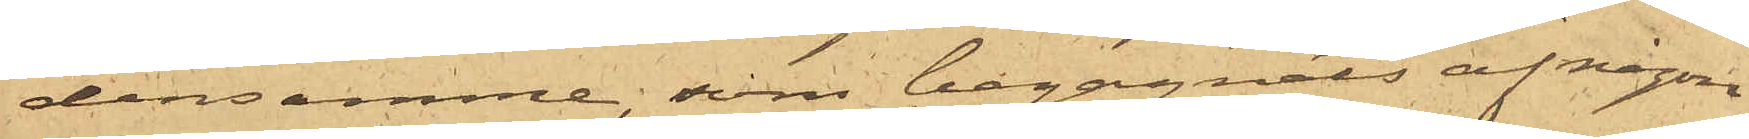densamme, som begagnats af någon
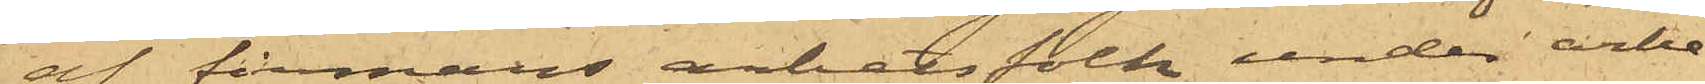af firmans arbetsfolk under arbe¬
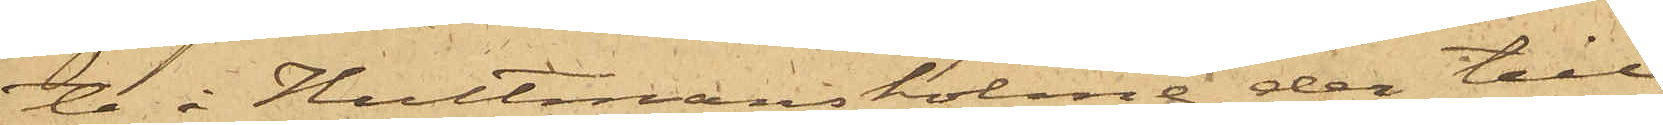te å Hultmansholme, der till¬
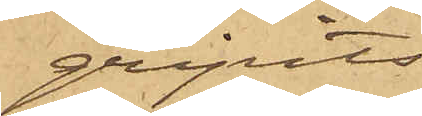gripits.
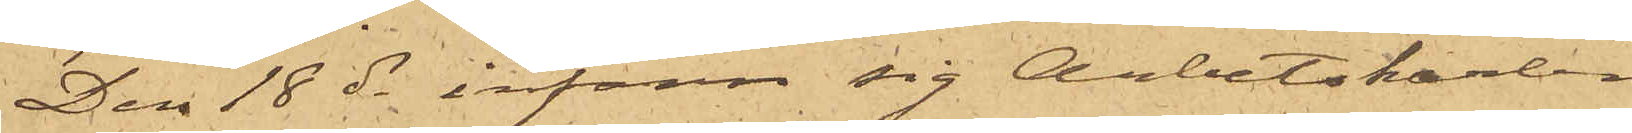Den 18 ds infann sig Arbetskarlen
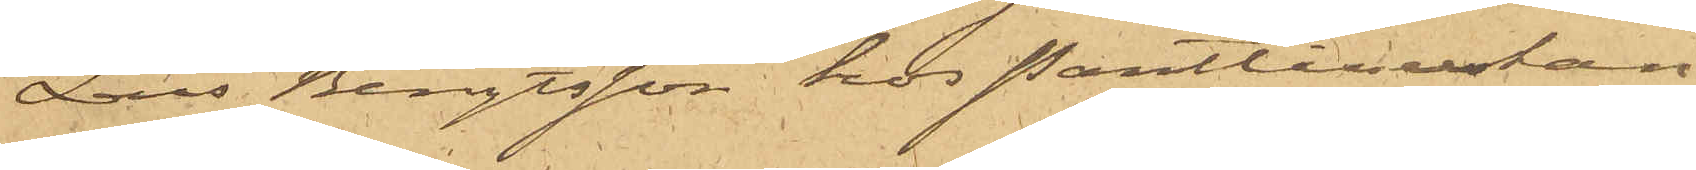Lars Bengtsson hos Pantlånerskan
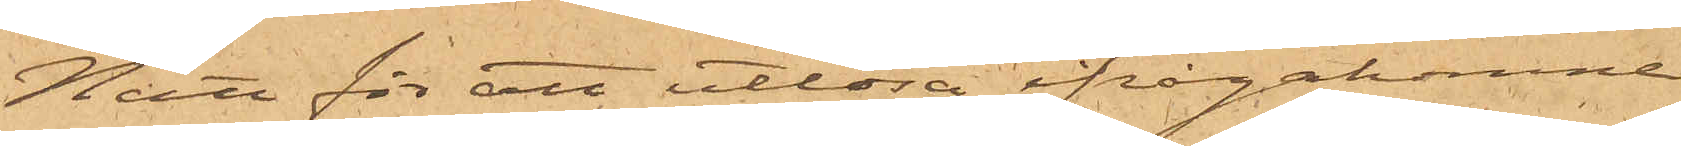Nätt för att utlösa ifrågakomne
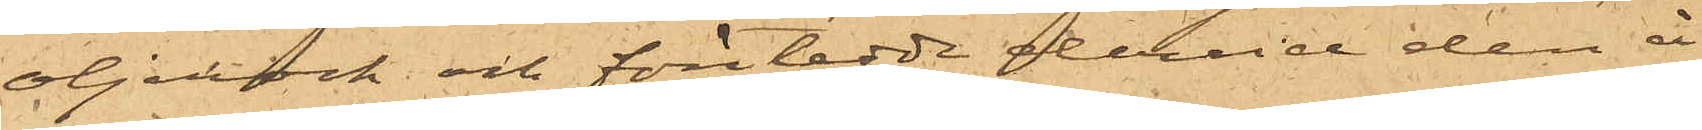oljerock och företedde dervid den å
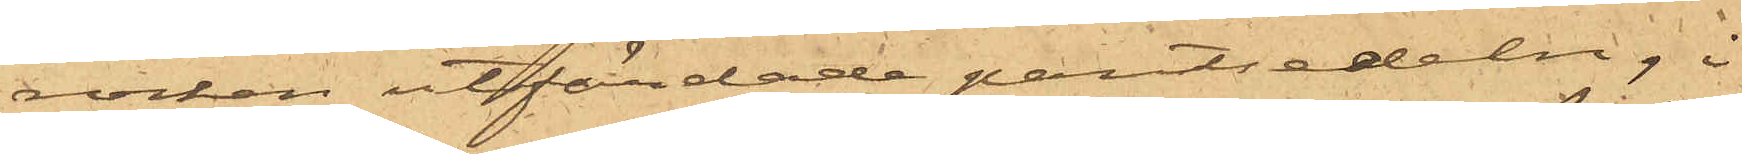rocken utfärdade pantsedeln, i
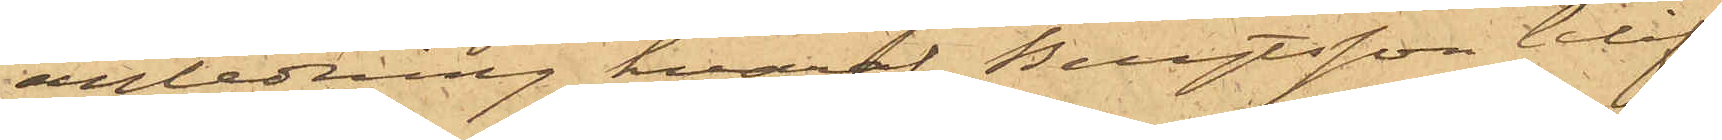anledning hvaraf Bengtsson blif¬
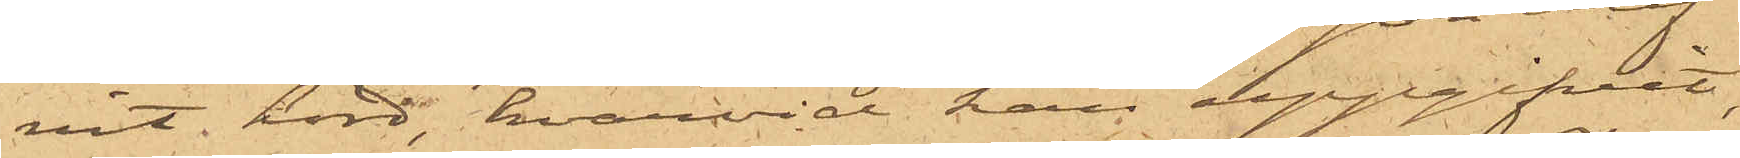vit hörd, hvarvid han uppgifvit,
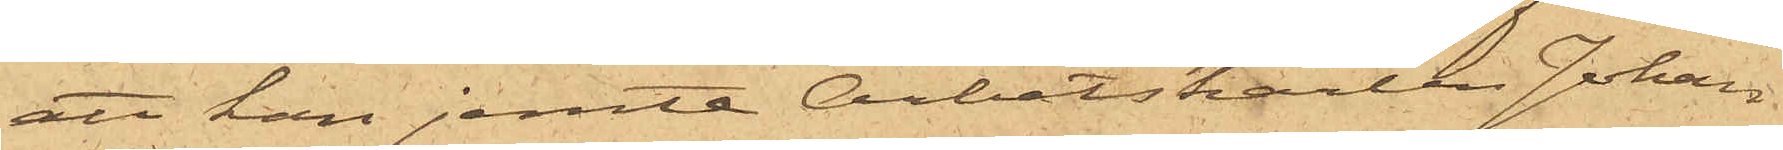att han jemte Arbetskarlen Johan
